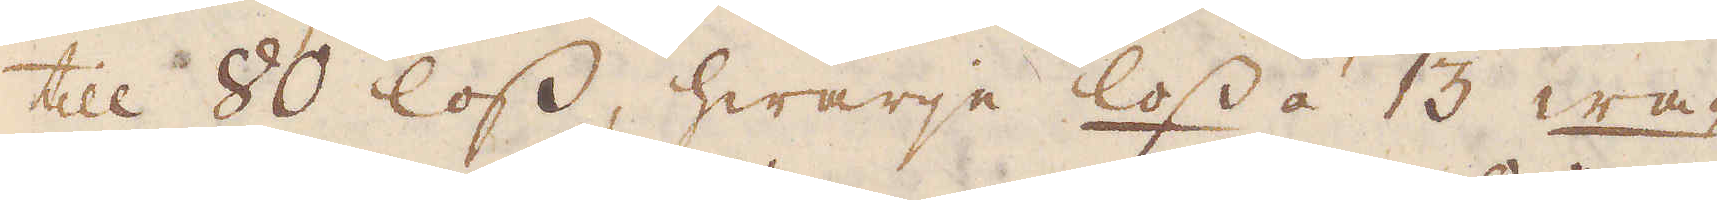till 80 loss, hwarje loss á 13 wa-
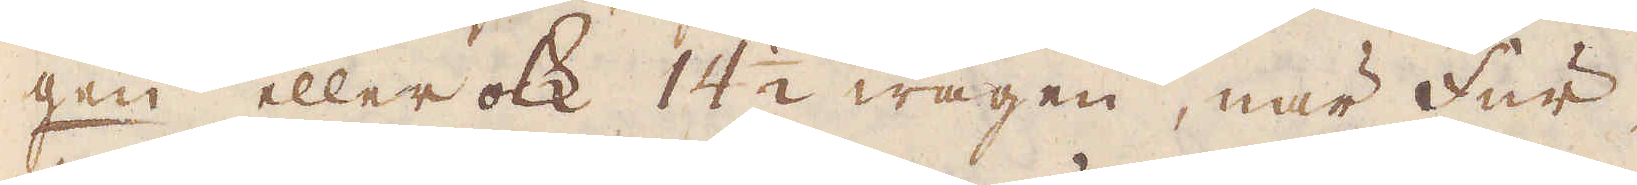gen eller ock 14 1/2 wagen, när Fur-
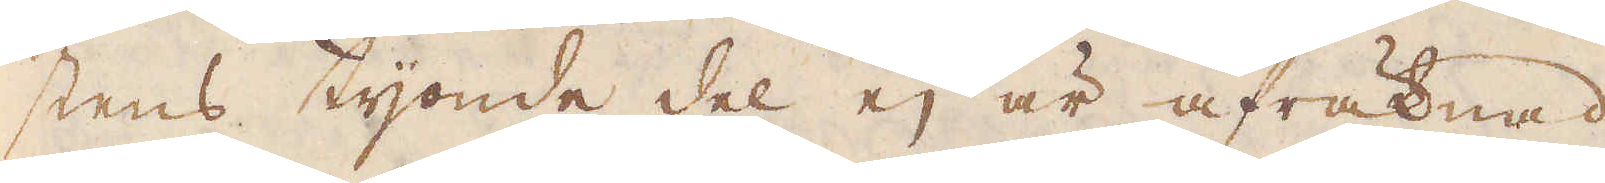stens tijonde del ej är afräknad.
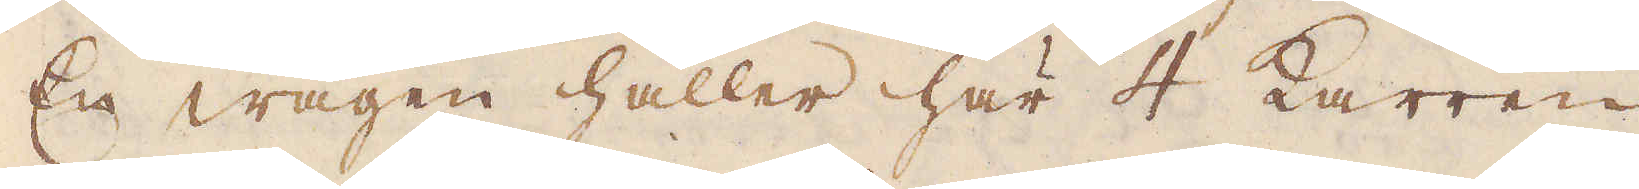En wagen håller här 4 Karren
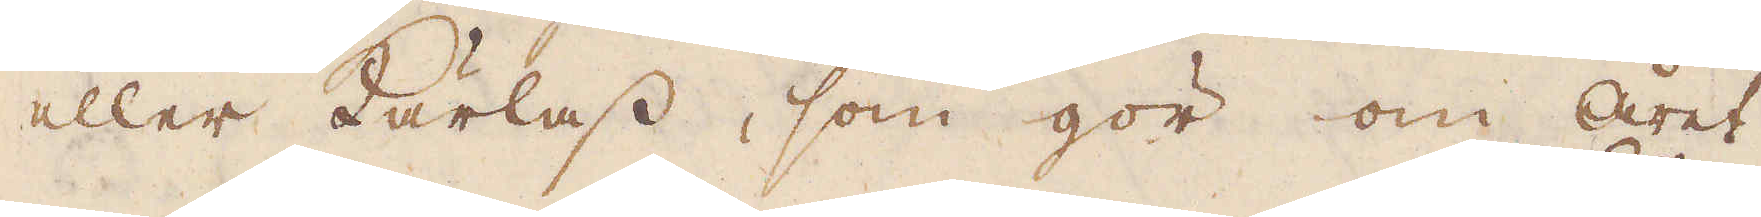eller Kärrlass, som gör om året
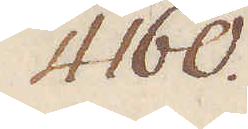4160.
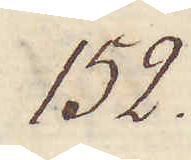152.
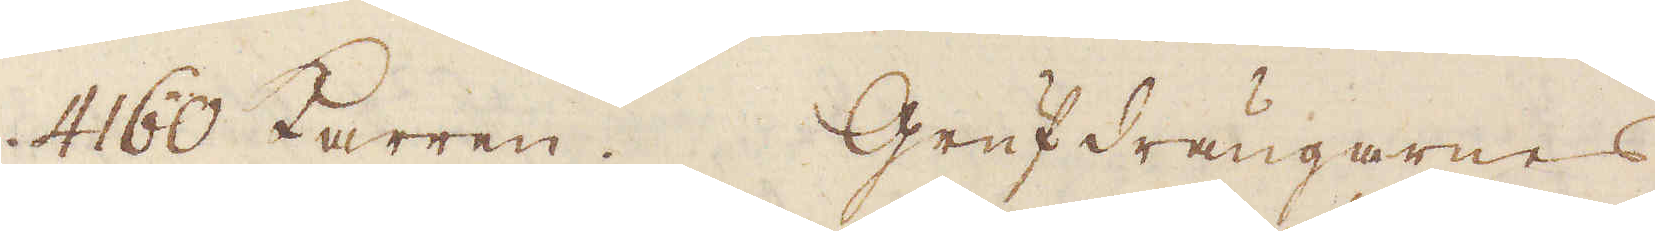4160 Karren. Grufdrängarnes
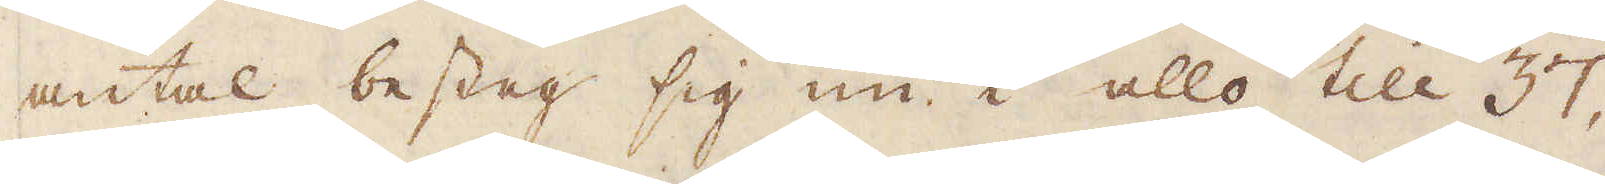antal besteg sig nu i allo till 37,
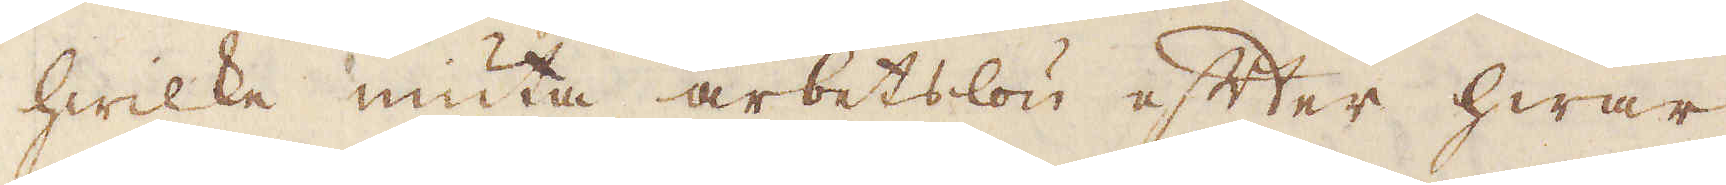hwilka niuta arbetslön efter hwar
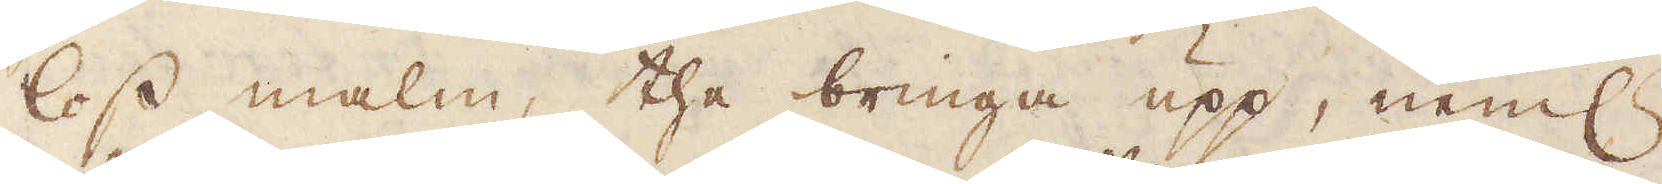loss malm, the bringa upp, neml:n
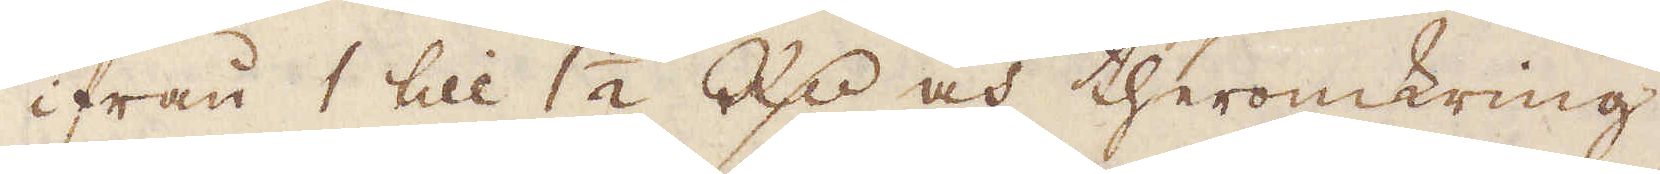ifrån 1 till 1 1/2 R:dr och theromkring
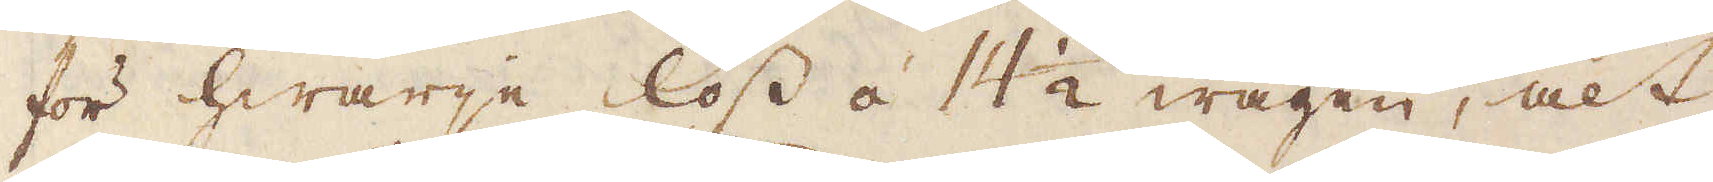för hwarje loss á 14 1/2 wagen, alt
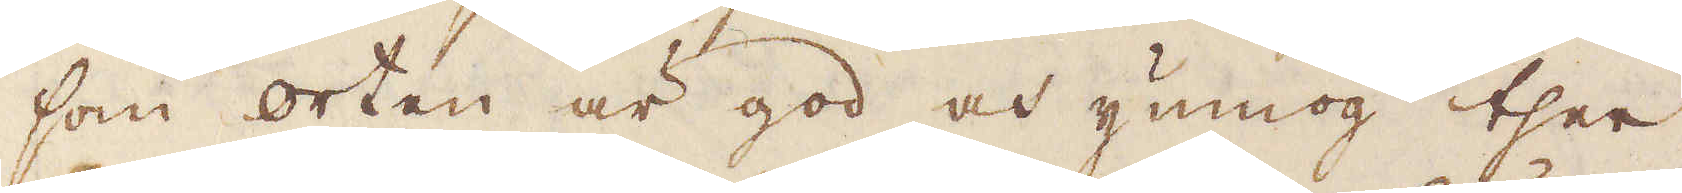som orten är god och ynmog ther
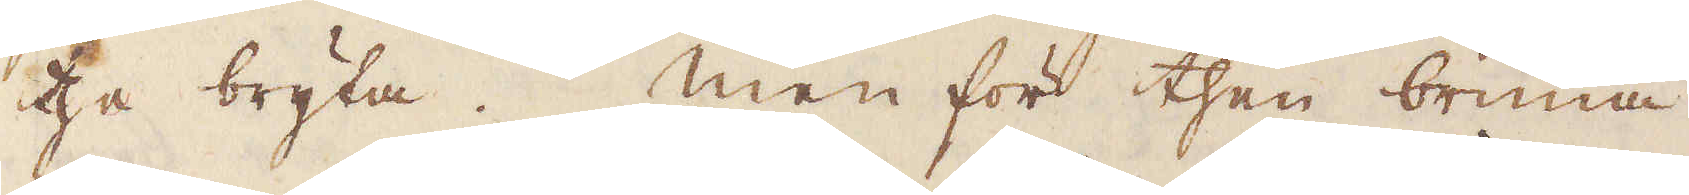the bryta. Men för then bruna
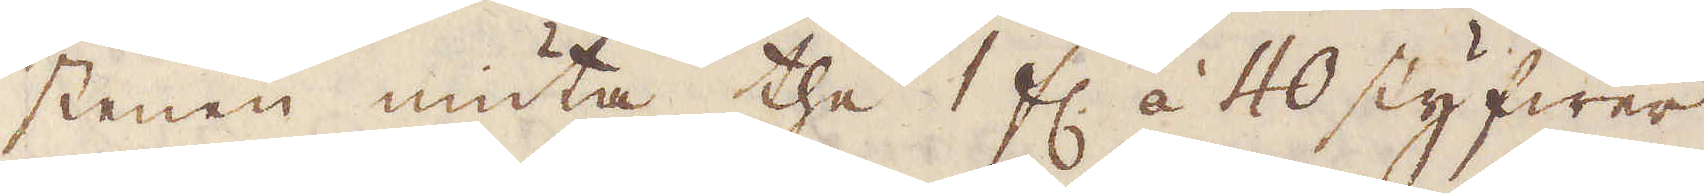stenen niuta the 1 fl. á 40 styfwer
